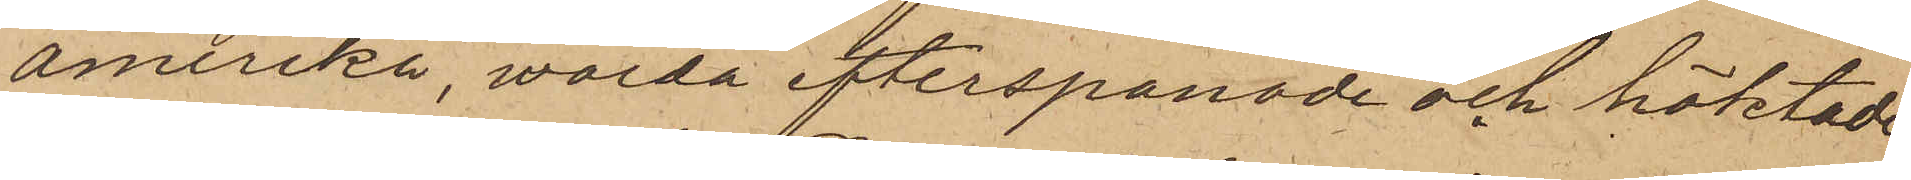Amerika, warda efterspanade och häktade;
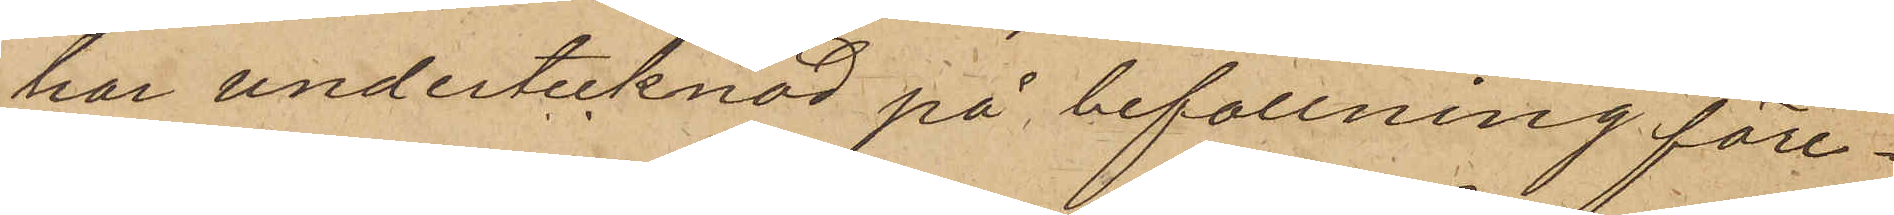har undertecknad på befallning före¬
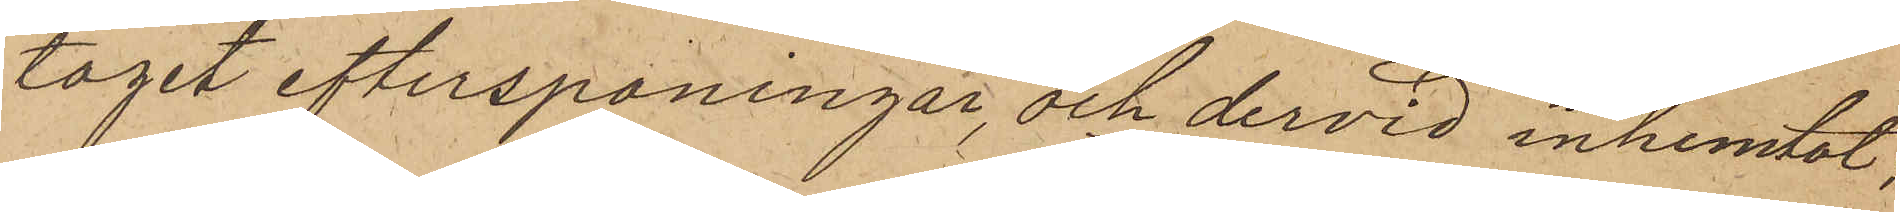tagit efterspaningar, och dervid inhemtat;
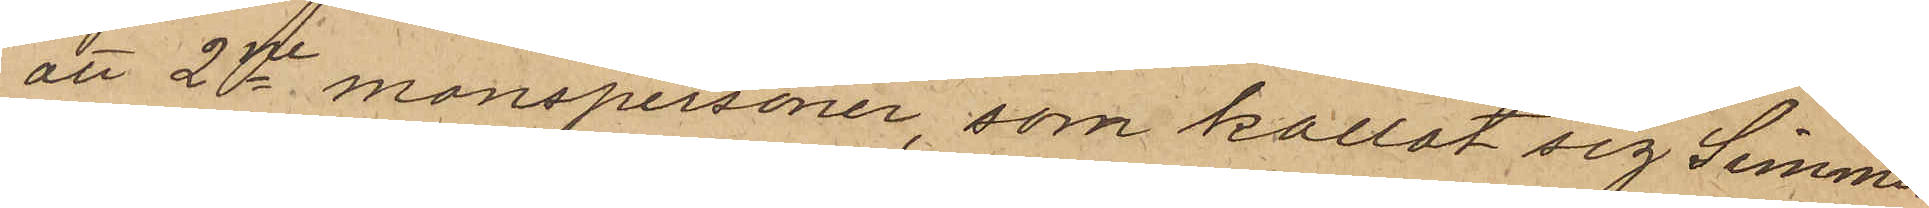att 2ne manspersoner, som kallat sig Simmer¬
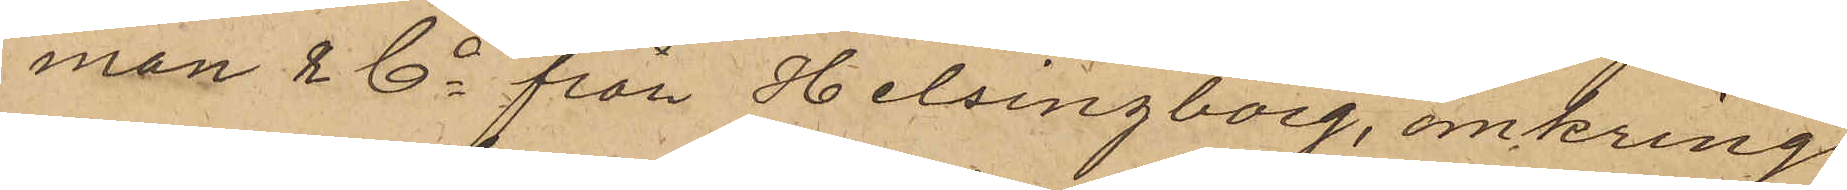man & Co från Helsingborg, omkring
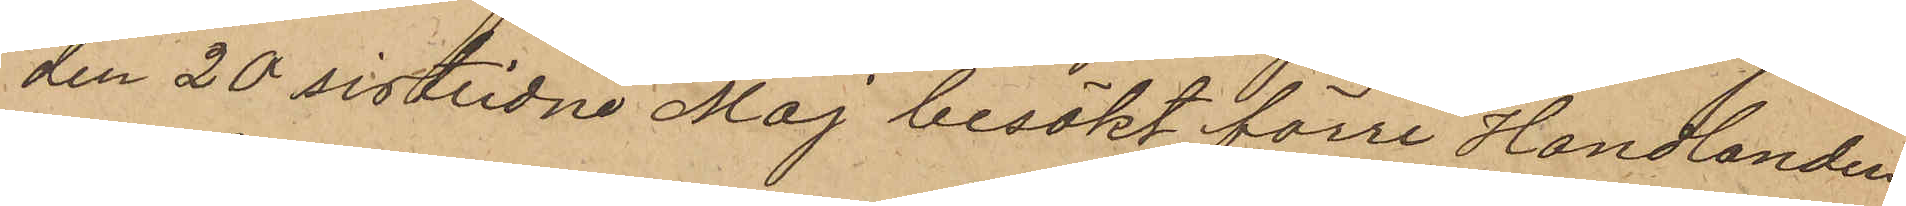den 20 sistlidne Maj besökt förre Handlanden
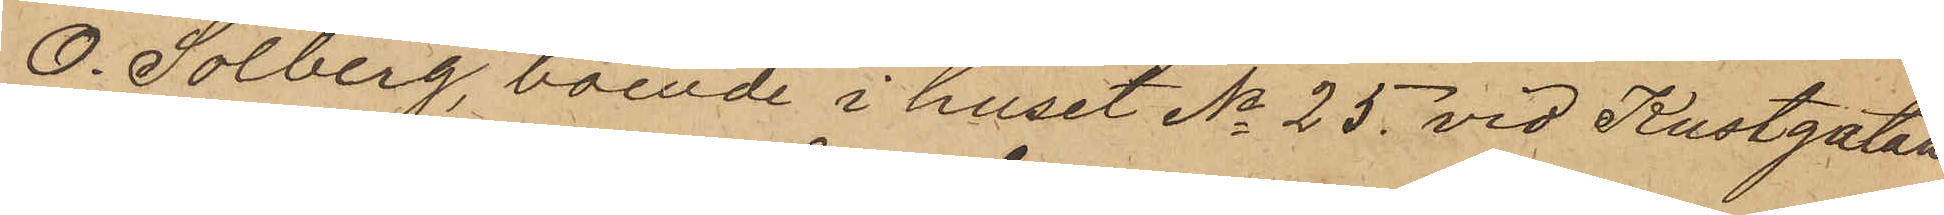O. Solberg, boende i huset No 25 vid Kustgatan
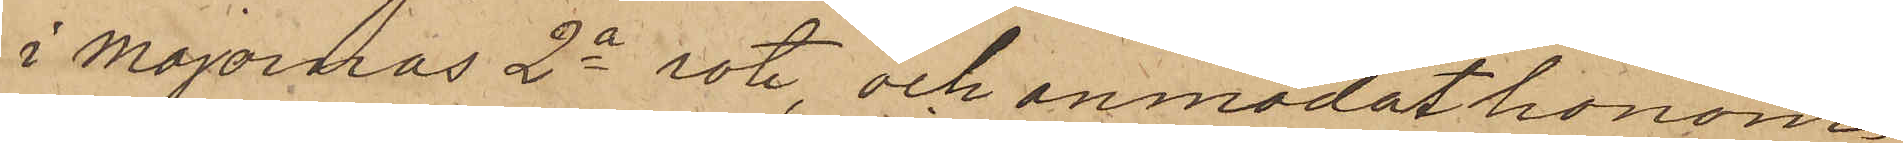i Majornas 2a rote, och anmodat honom
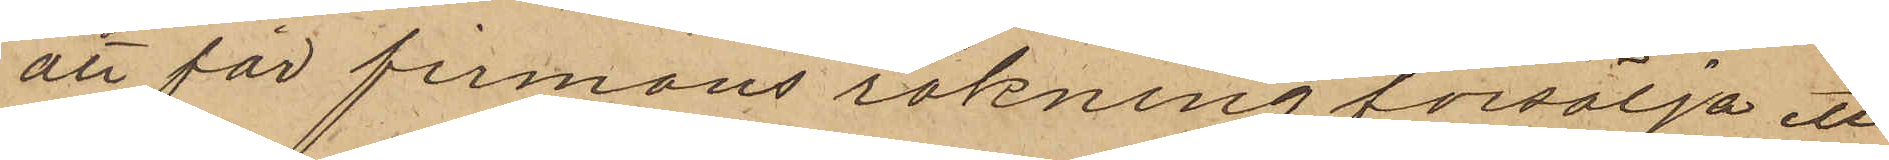att för firmans räkning försälja ett
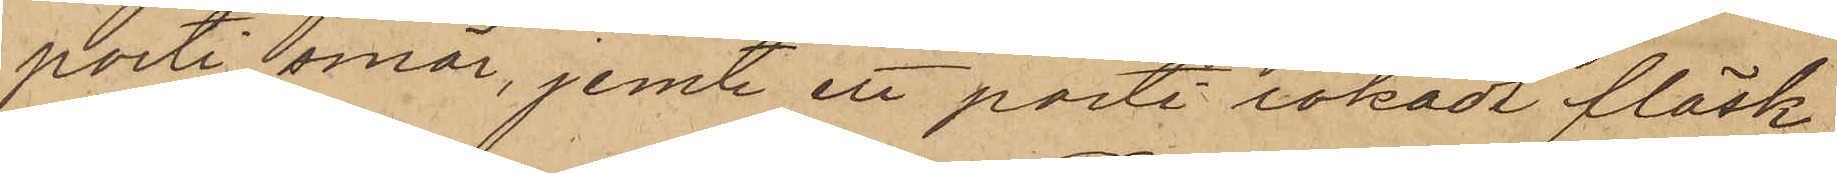parti smör, jemte ett parti rokadt fläsk,
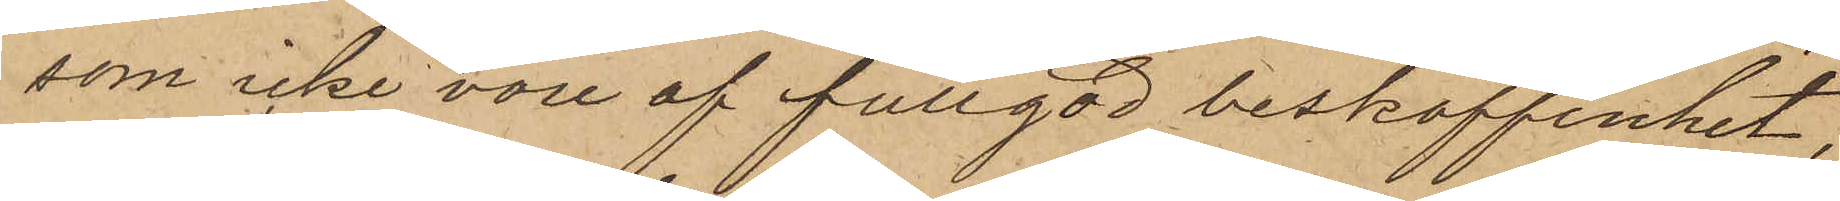som icke vore af fullgod beskaffenhet,
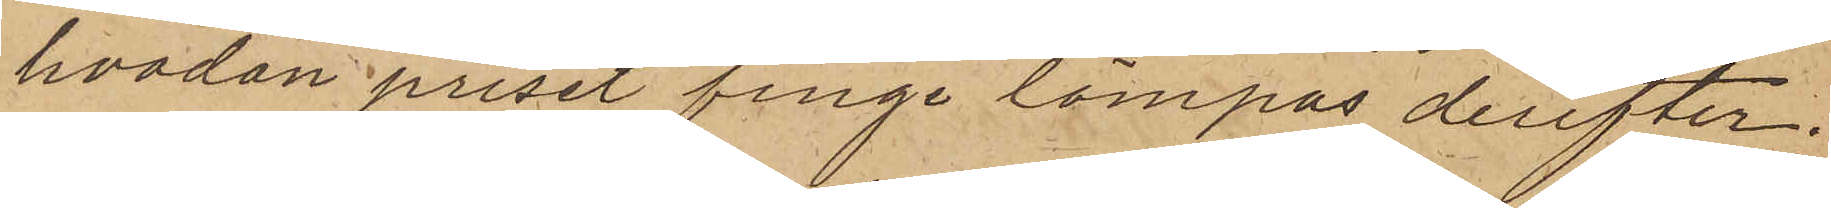hvadan priset finge lämpas derefter;
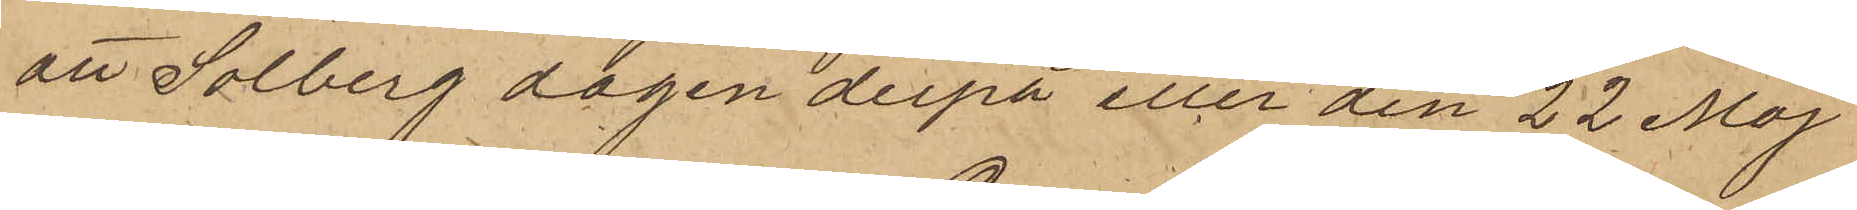att Solberg dagen derpå eller den 22 Maj
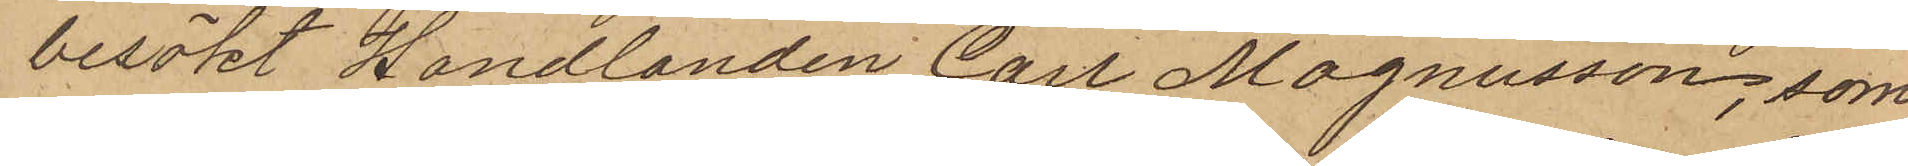besökt Handlanden Carl Magnusson, som
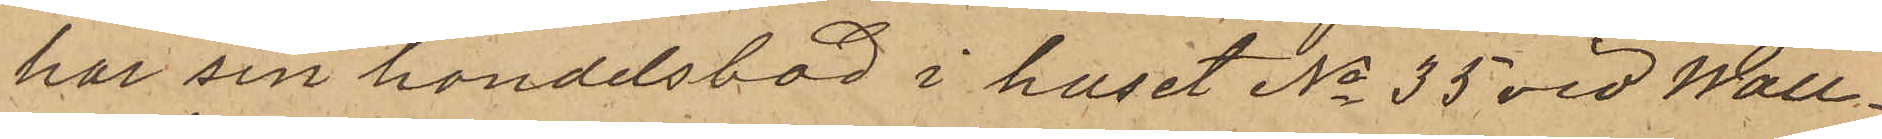har sin handelsbod i huset No 35 vid Wall¬
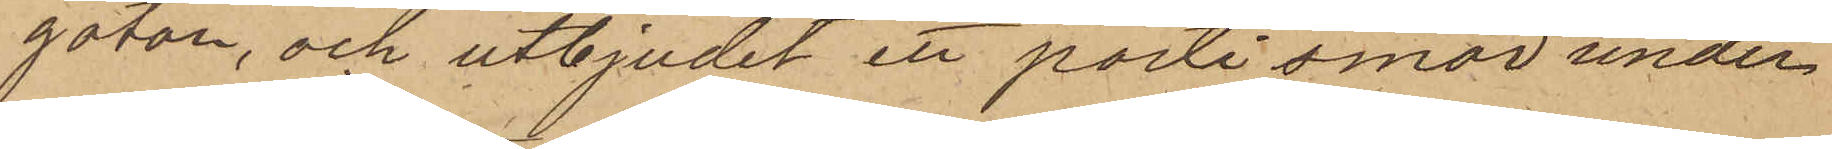gatan, och utbjudit ett parti smör under
